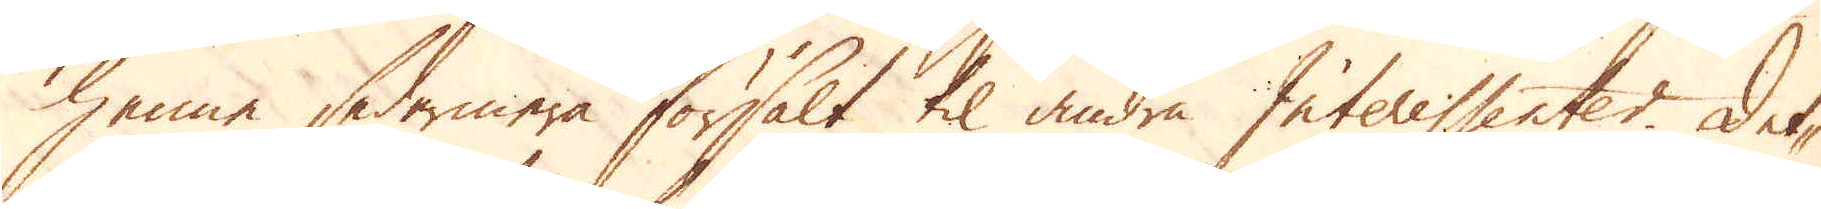henne sedermera försålt til andra Interessenter. Det-
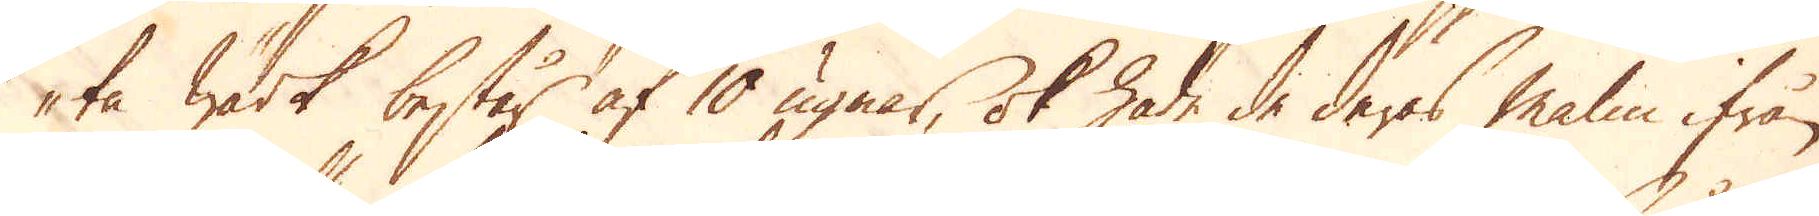ta Wärk består af 10 ugnar, ok hade de deras malm ifrån
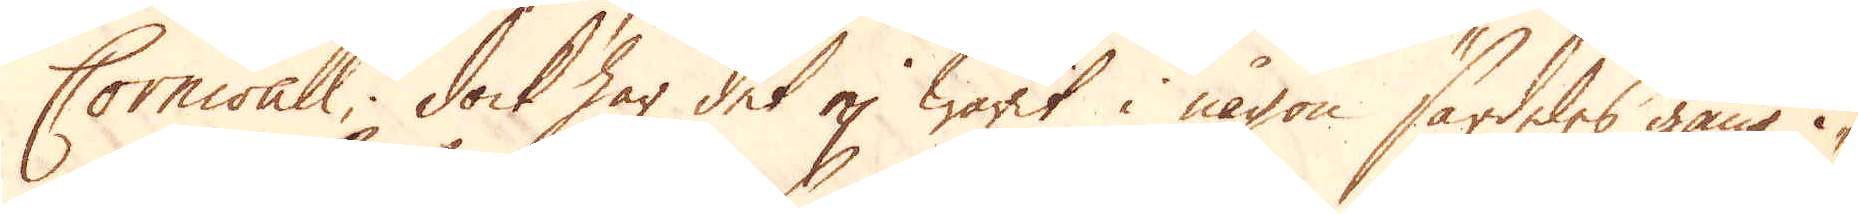Cornwall, dock har det ej warit i någon särdeles gång i-
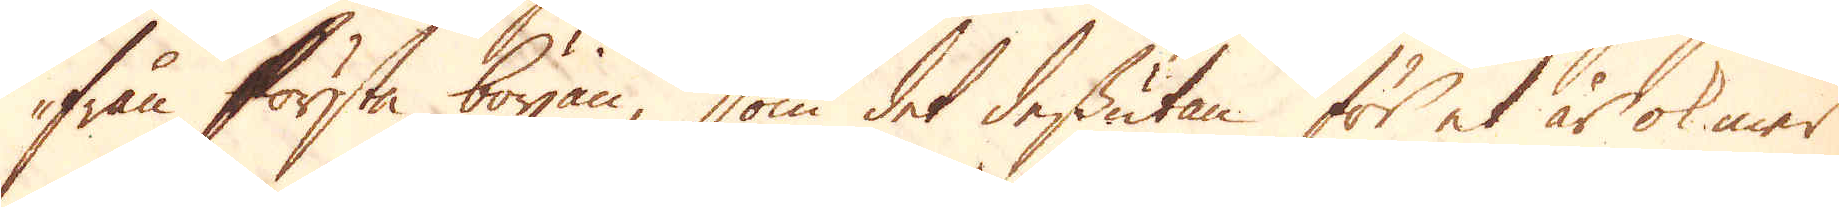ifrån första början, som det dessutan för et år ok mer
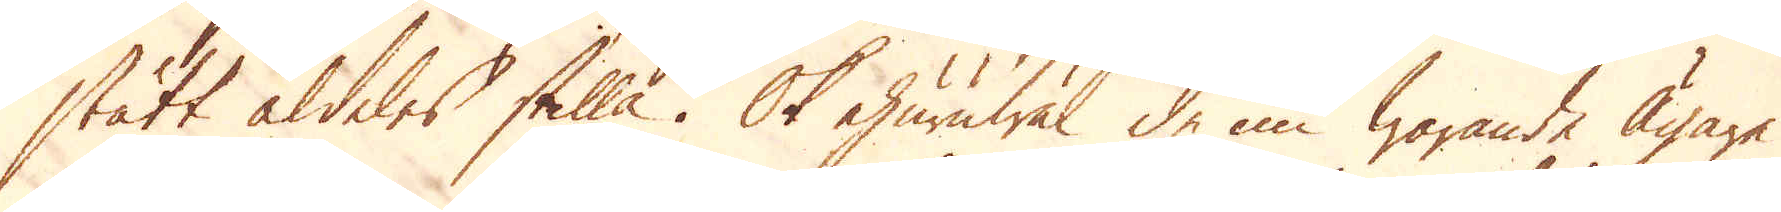stått aldeles stilla. Ok ehuruwäl de nu warande Ägare
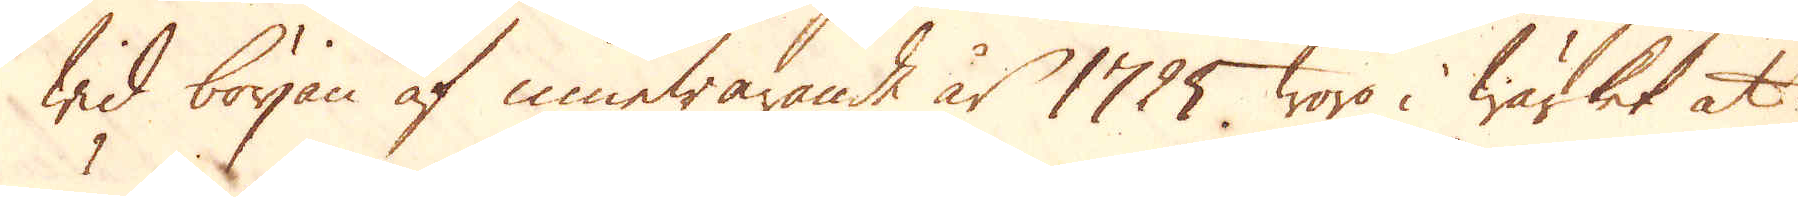wid början af innewarande år 1725 woro i wärket at
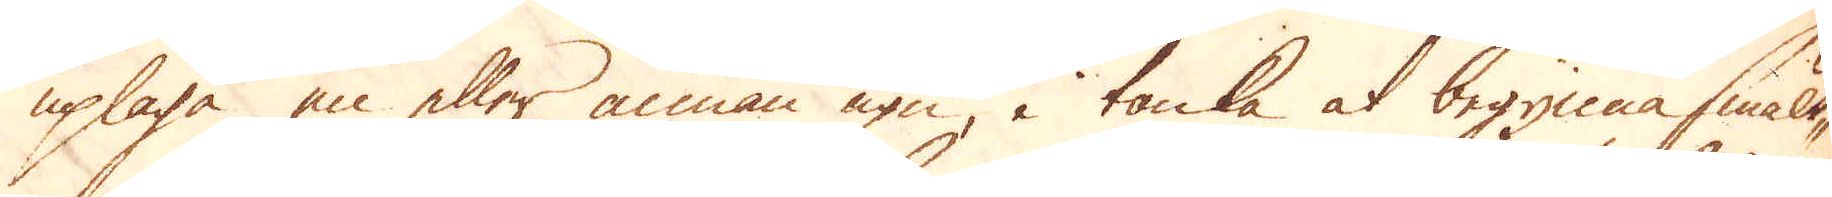uplaga en eller annan ugn, i tanka at begynna smält-
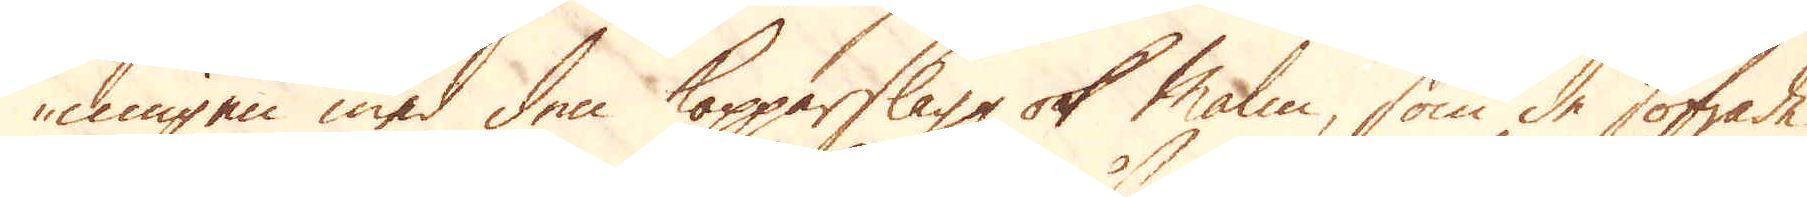ningen med den kopparslagg ok Malm, som de sofrade
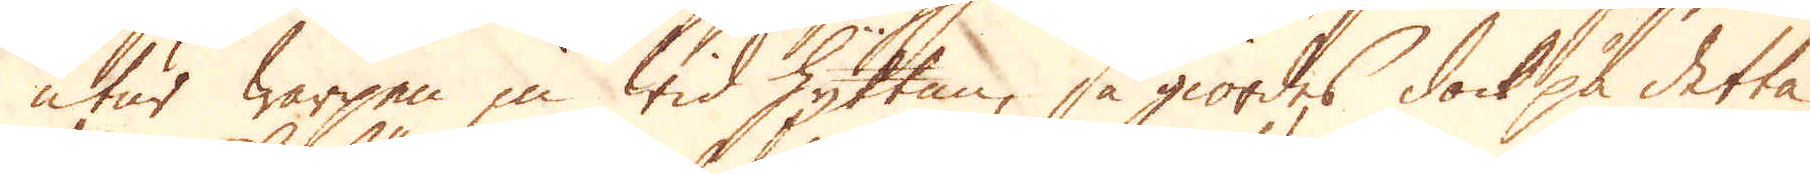utur warpen in wid Hyttan, så giordes dock på detta
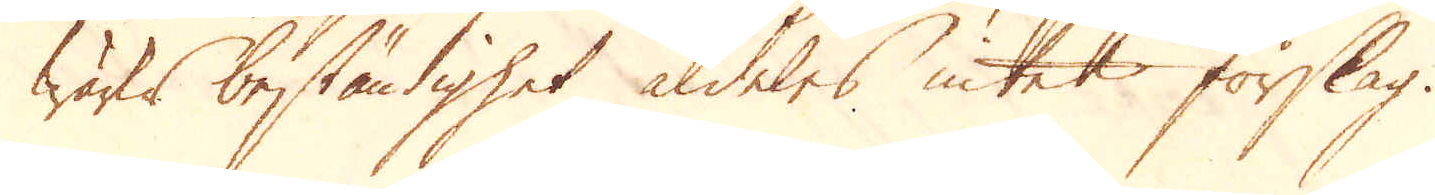wärks beständighet aldeles intet förslag.
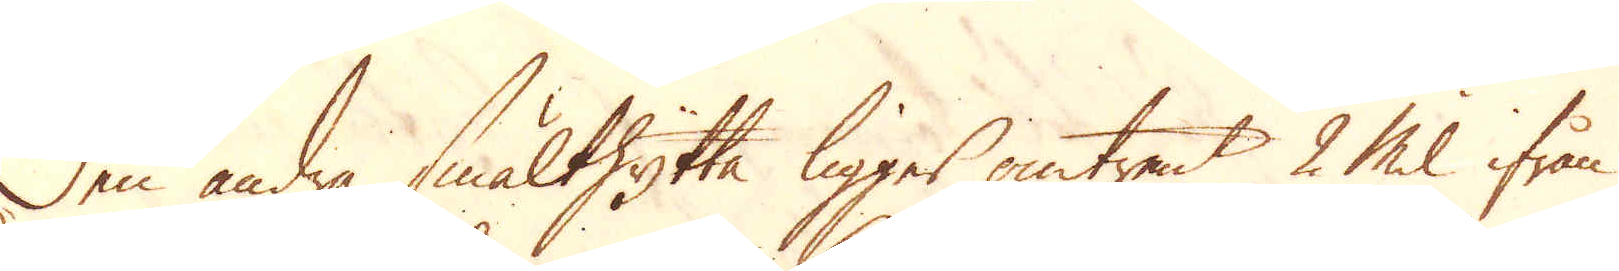Den andra smälthytta ligger omtrent 2 Mil ifrån
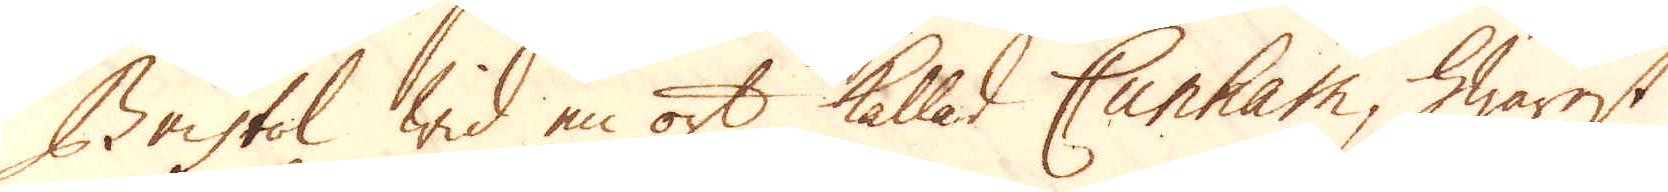Bristol Wid en ort kallad Cunham, hwarest
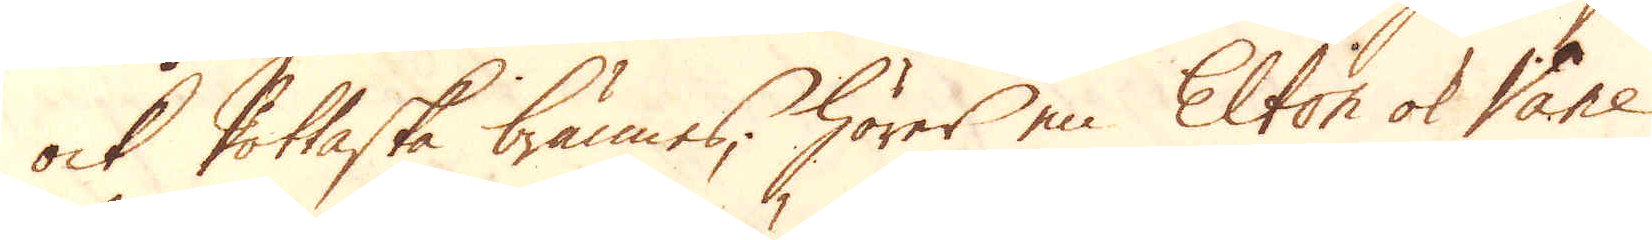ock Pottaska brännes, hörer en Elton ok Vane
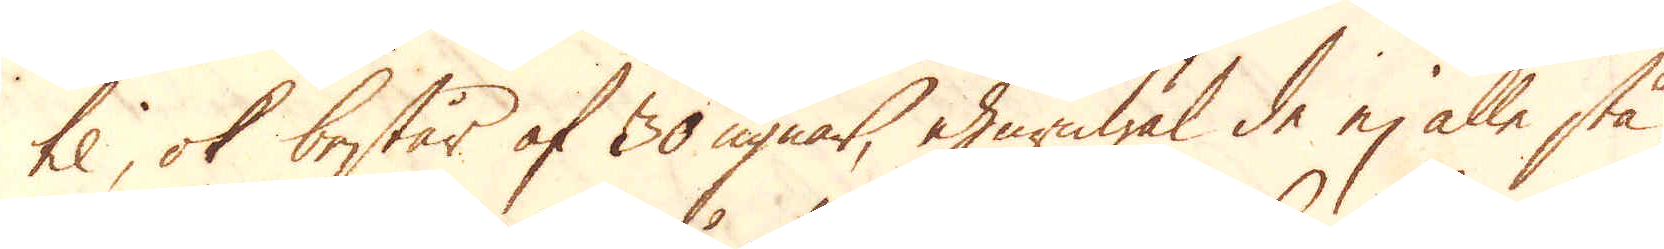til, ok består af 30 ugnar, ehuruwäl de ej alle stå
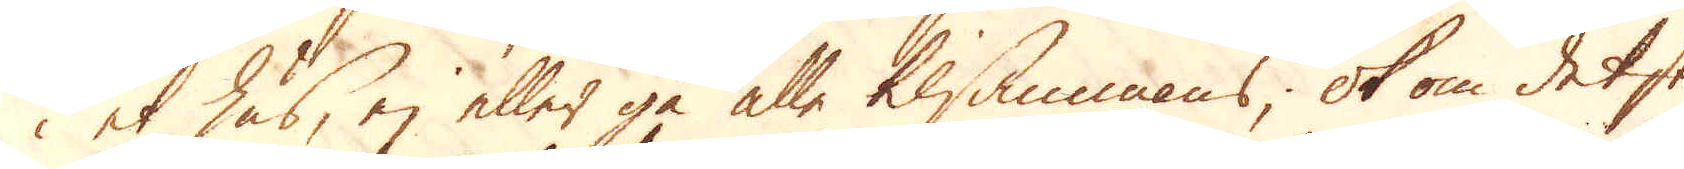i et hus, ej eller gå alle tilsammans, ok om det stun-
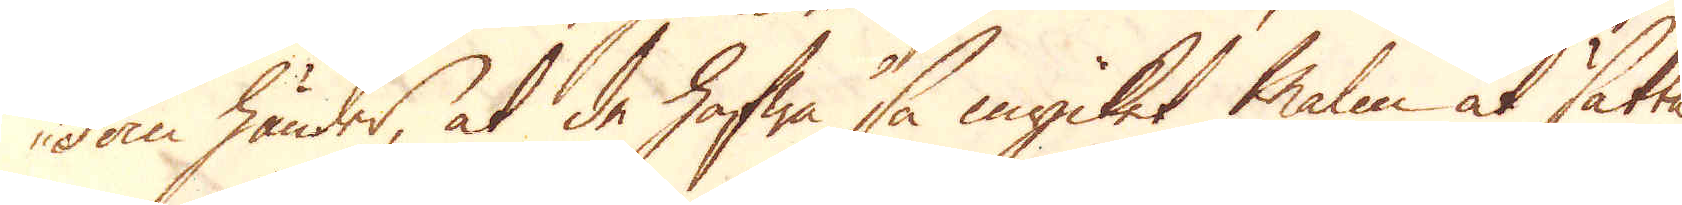dom händer, at de hafwa så mycket malm at sätta
